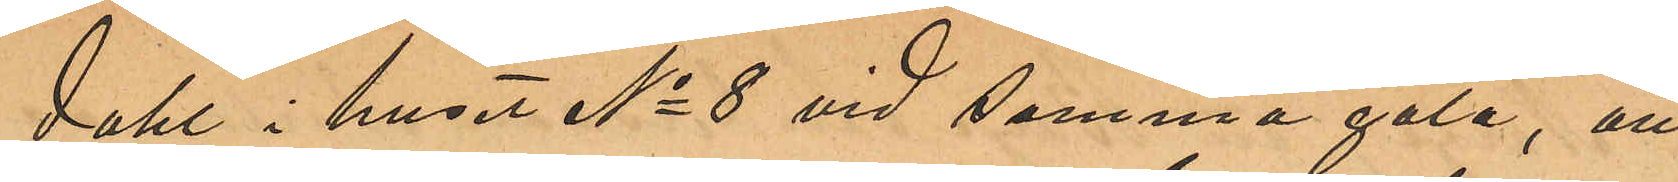dahl i huset N 8 vid samma gata, att
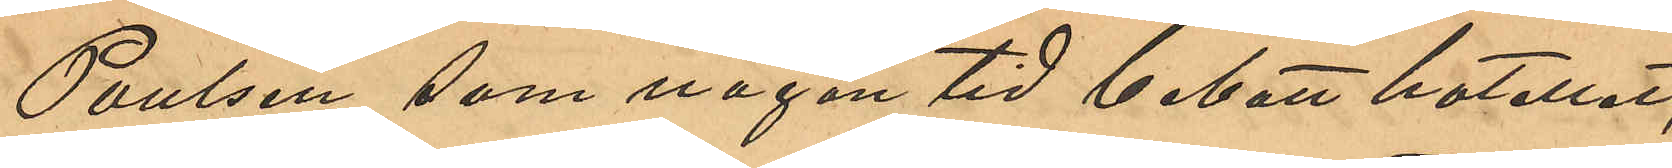Poulsen, som någon tid bebott hotellet,
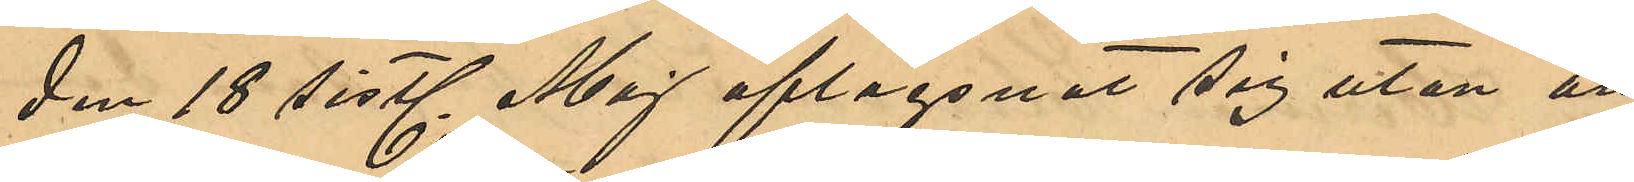den 18 sistl Maj aflägsnat sig utan att
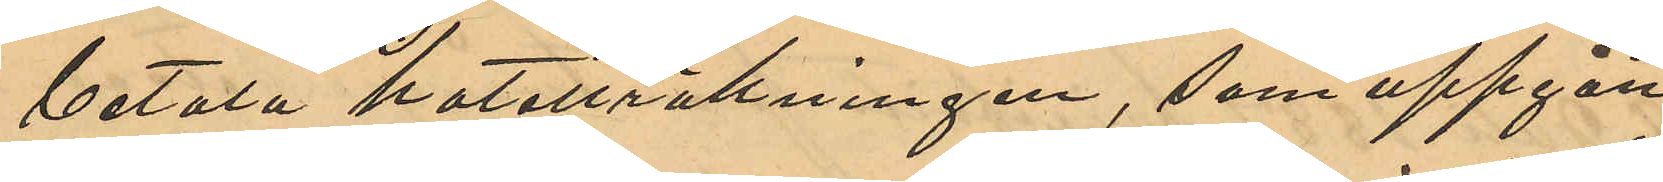betala hotellräkningen, som uppgått
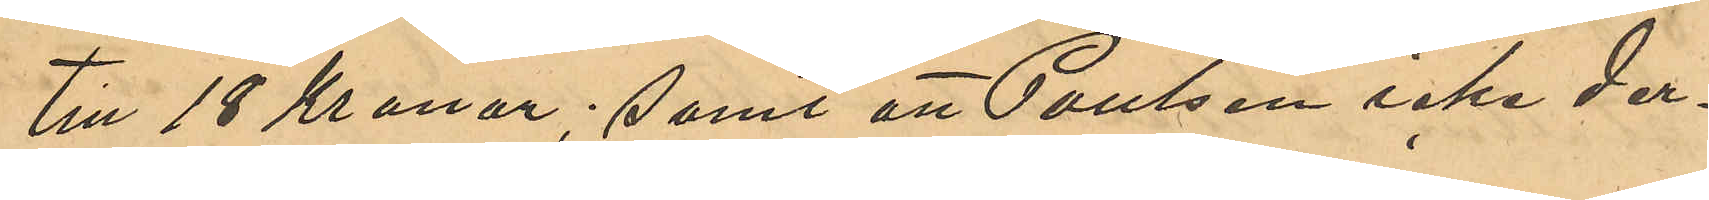till 18 Kronor; samt att Poulsen icke der¬
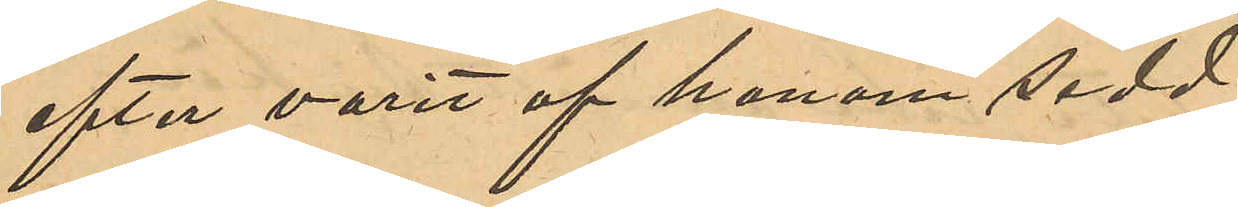efter varit af honom sedd.
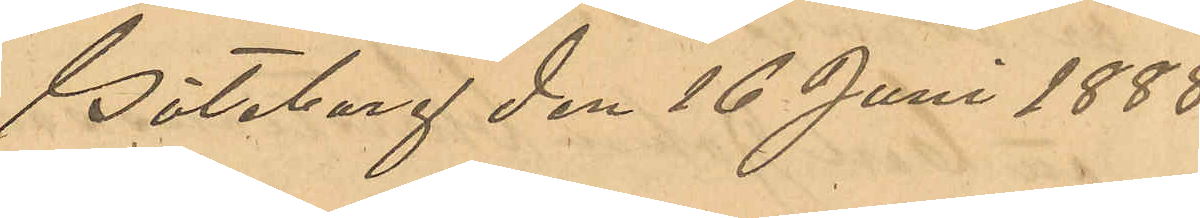Göteborg den 16 Juni 1888.
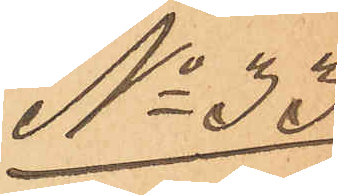No 33
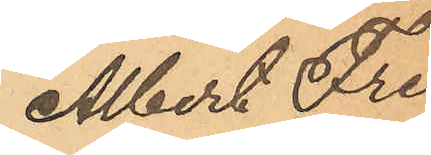Albert Fre¬
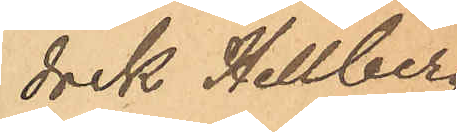drik Hellberg
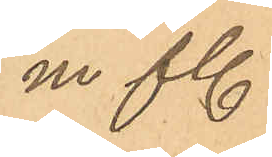m fl.
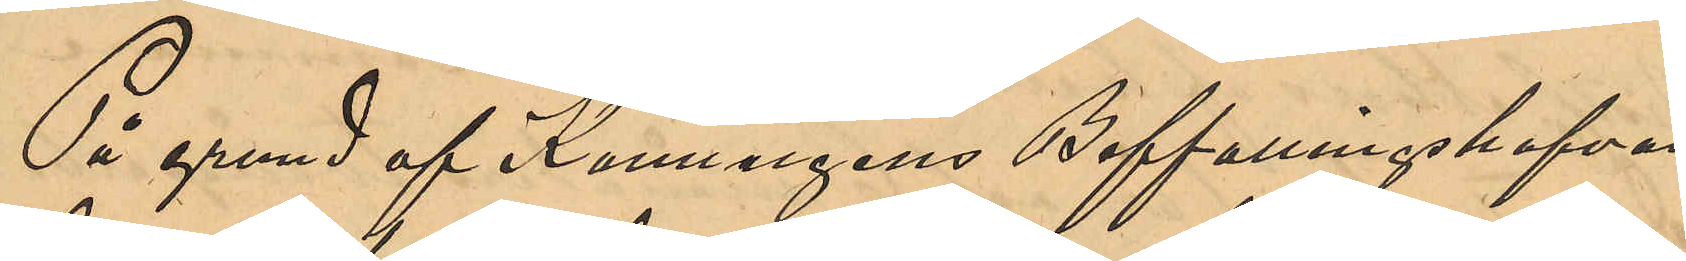På grund af Konungens Befallningshafvan¬
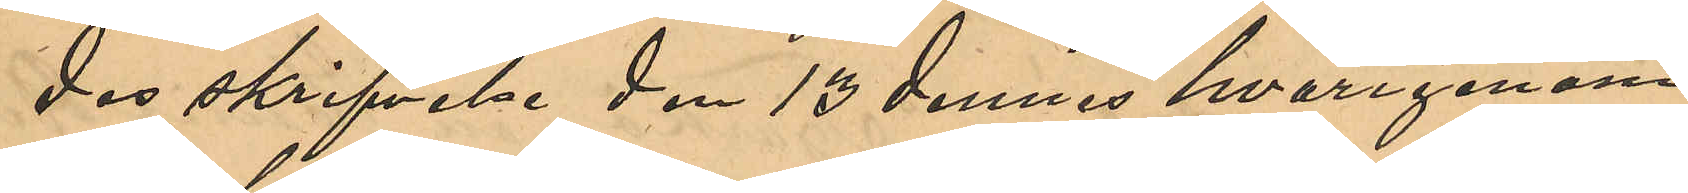des skrifvelse den 13 dennes hvarigenom
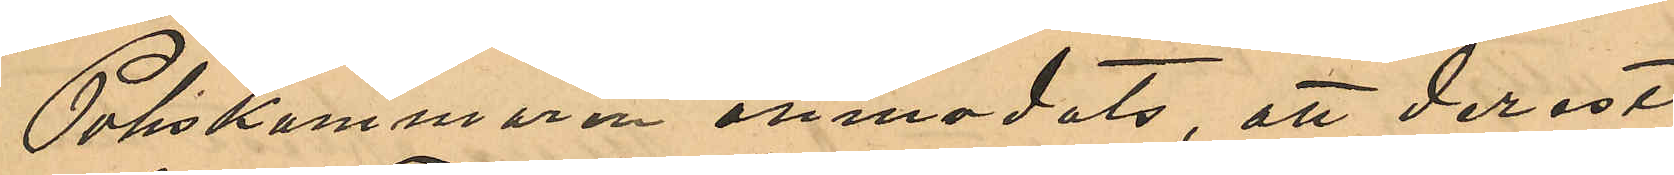Poliskammaren anmodats, att derest
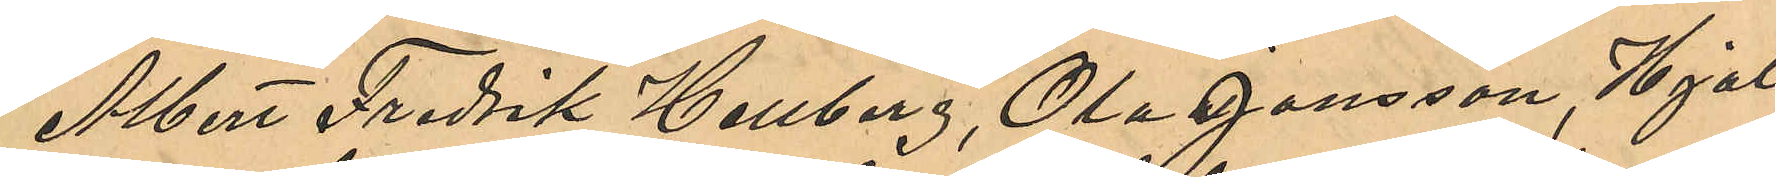Albert Fredrik Hellberg, Ola Jansson, Hjal¬
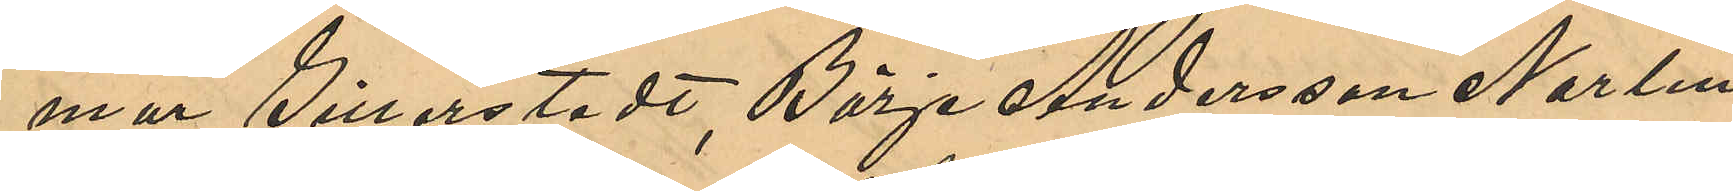mar Gillerstedt, Börje Andersson Norlin,
